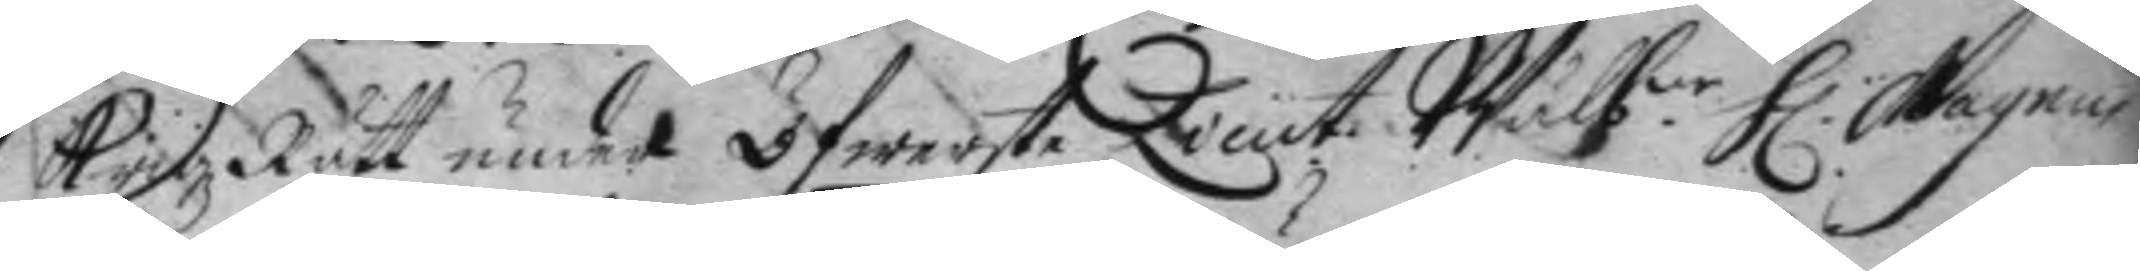KrigzRätt under Öfwerste Lieut. Wälb:ne H: Magnus 
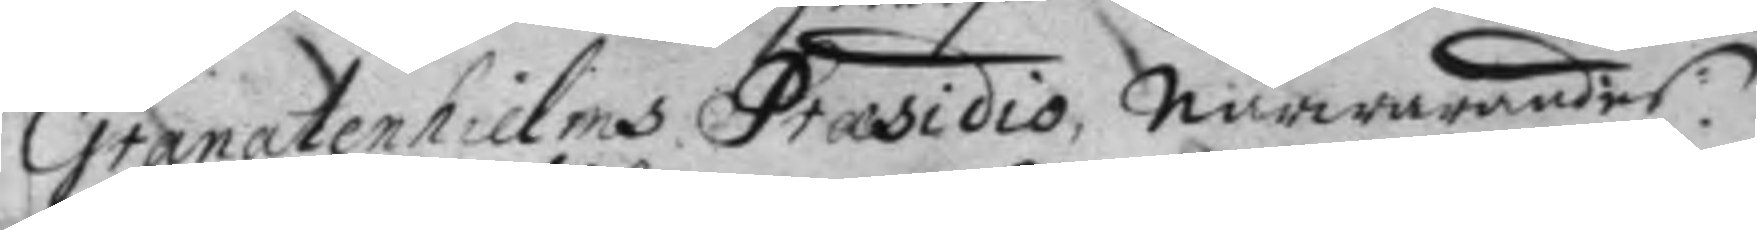Granatenhielms Præsidio, närwarandes:
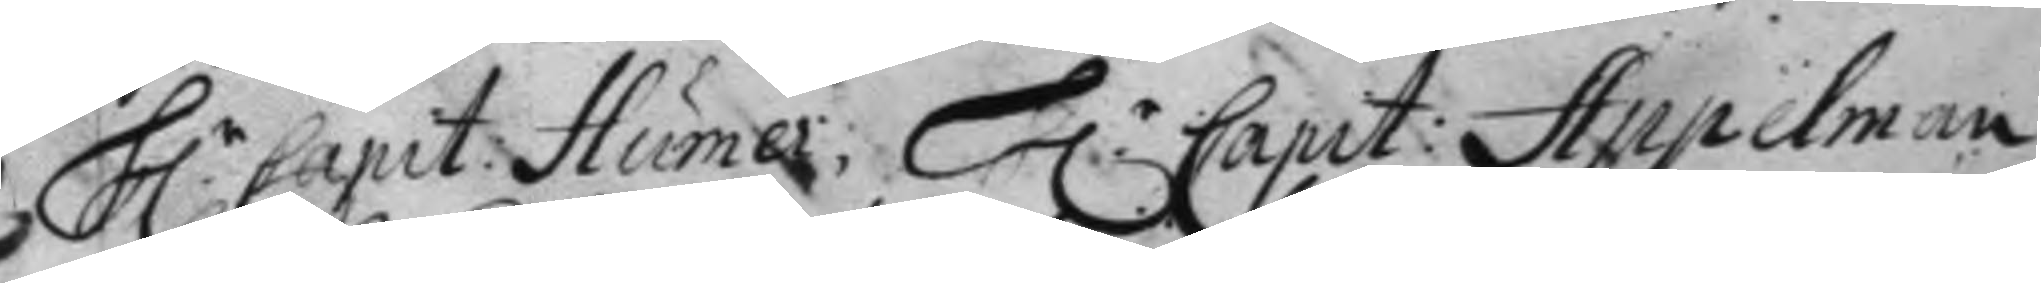H.r Capit: Humer: H.r Capit: Appelman 
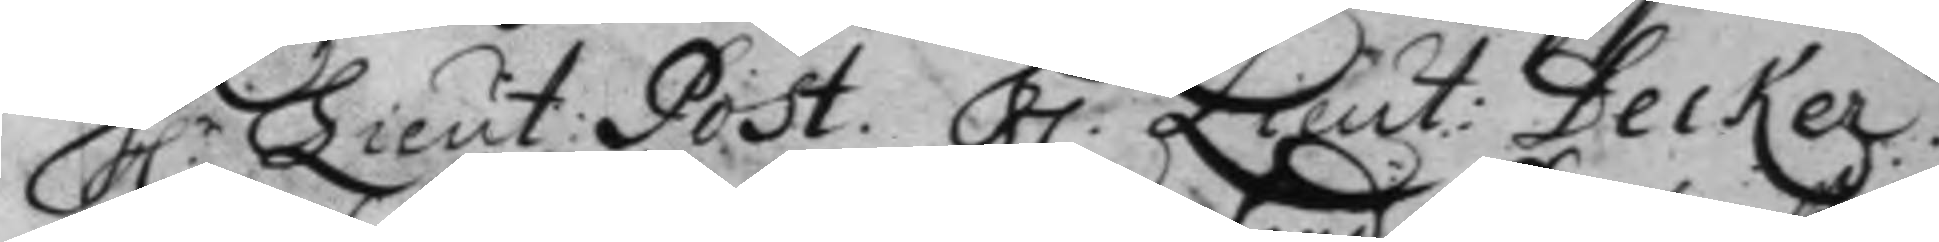H.r Lieut. Post. H.r Lieut: Decker. 
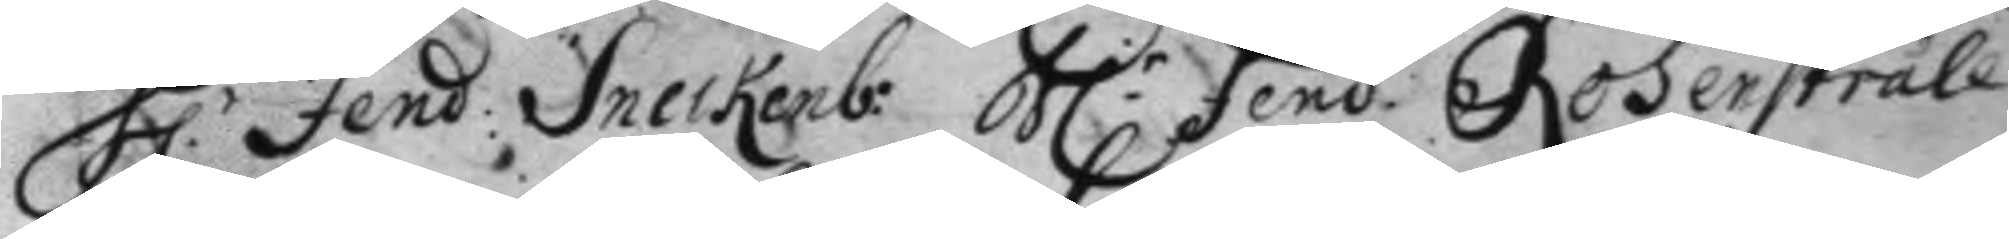H.r Fend: Sneckenb: H.r fend. Rosenstråle 
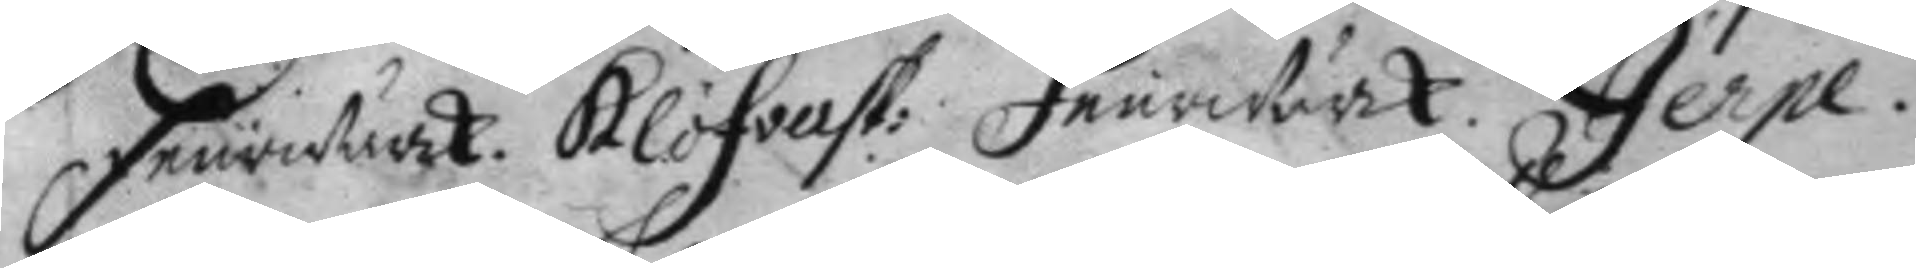Feurwärk. Klöfvast: Feurwärck. Jerpe.
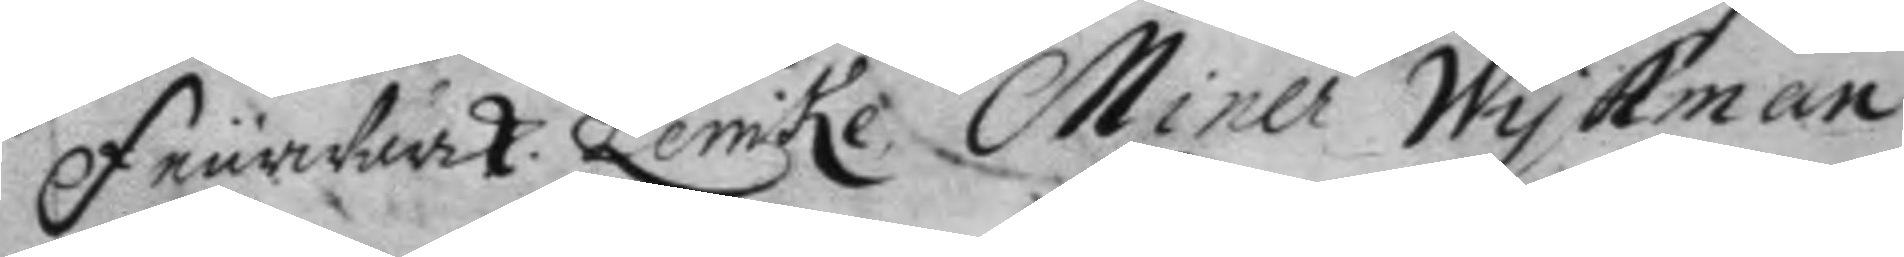Feurwärk Lemke, Miner Wykman
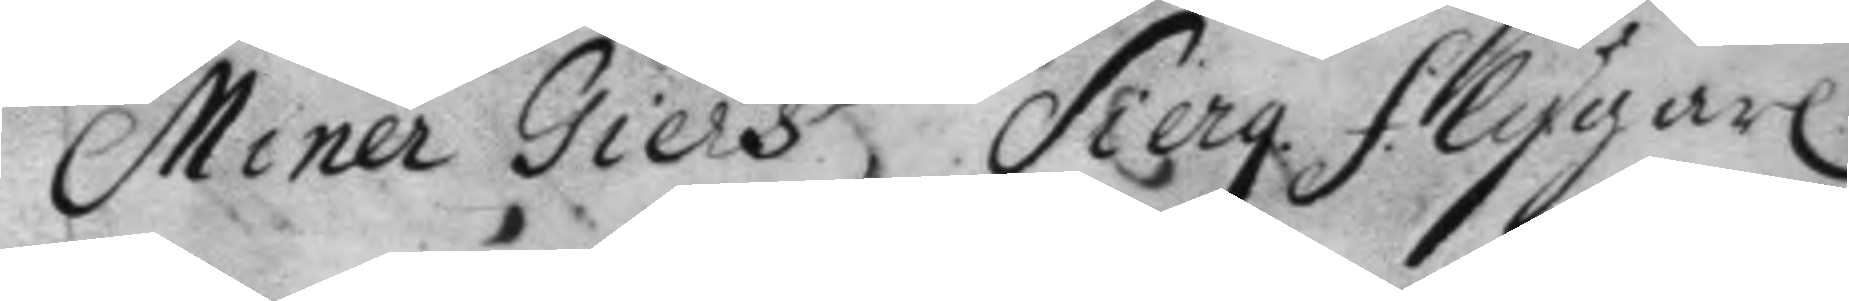Miner Giers, Sierg. Flygare
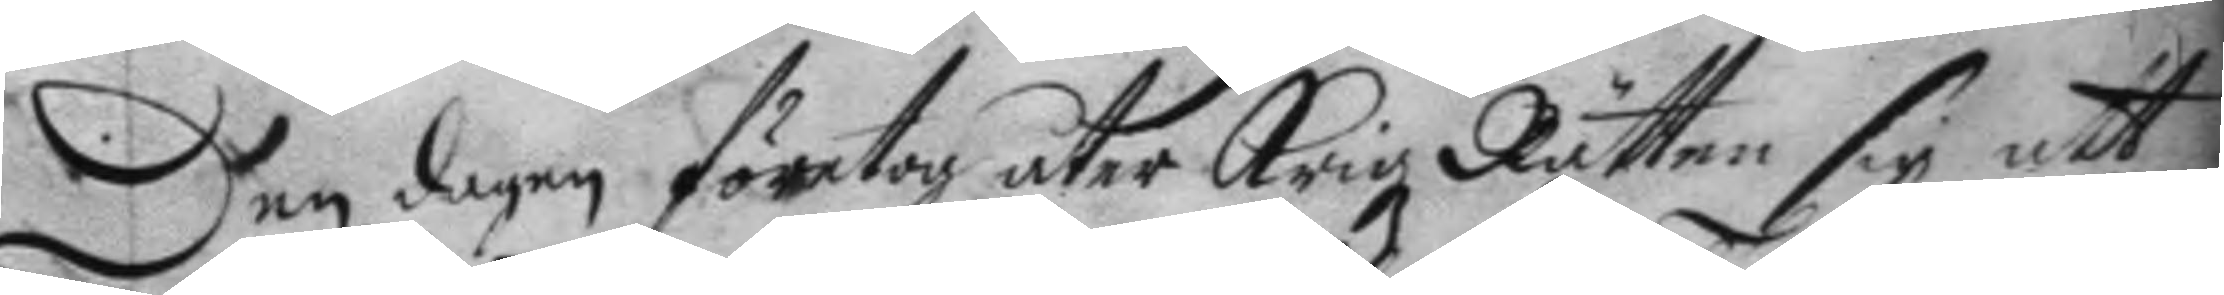Den dagen företog åter Krigz Rätten sig att
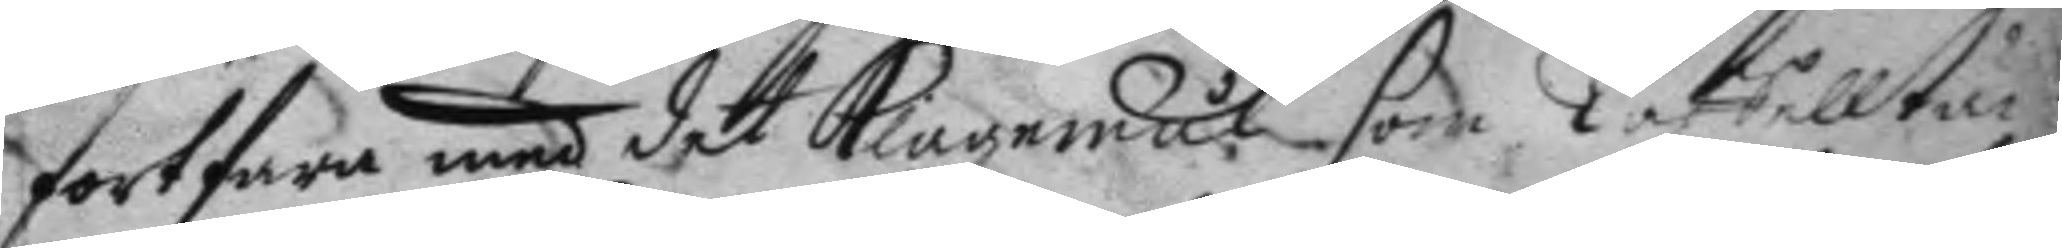fortfara med det Klagemål som Taffelltäc¬
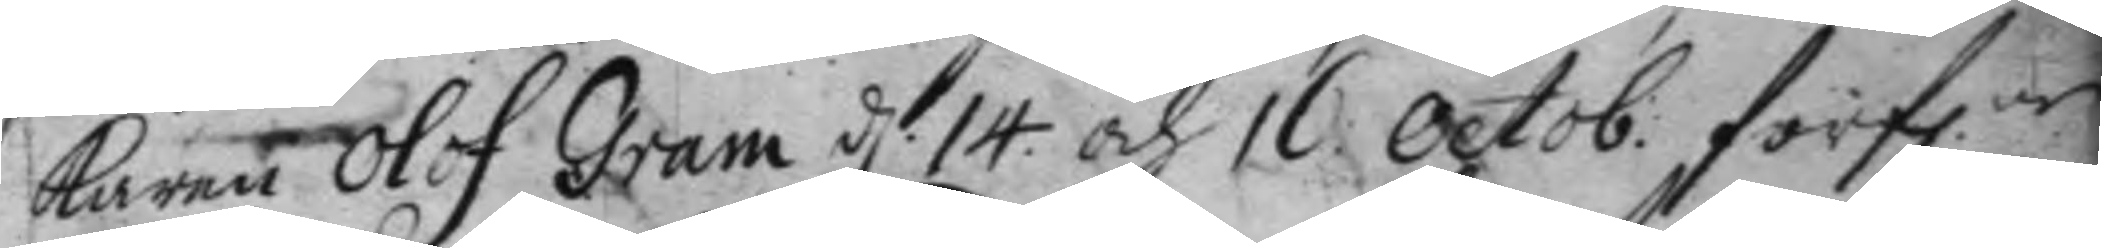karen Olof Gram d: 14 och 16 Octob: förfl.ne
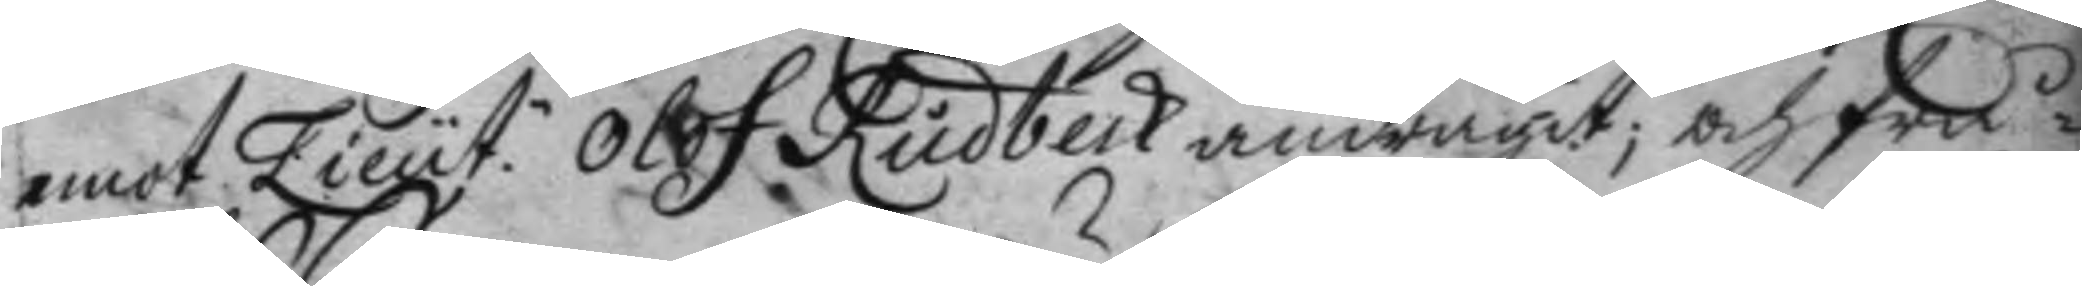emot Lieut: Olof Rudbeck andragit; och frå¬ 
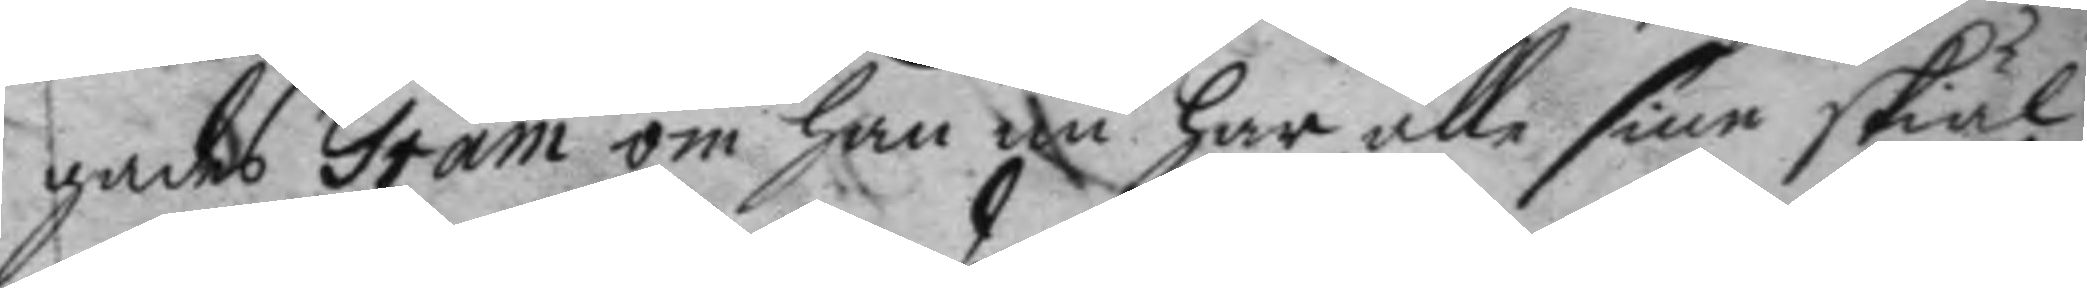gades Gram om han nu har alle sine skiäl
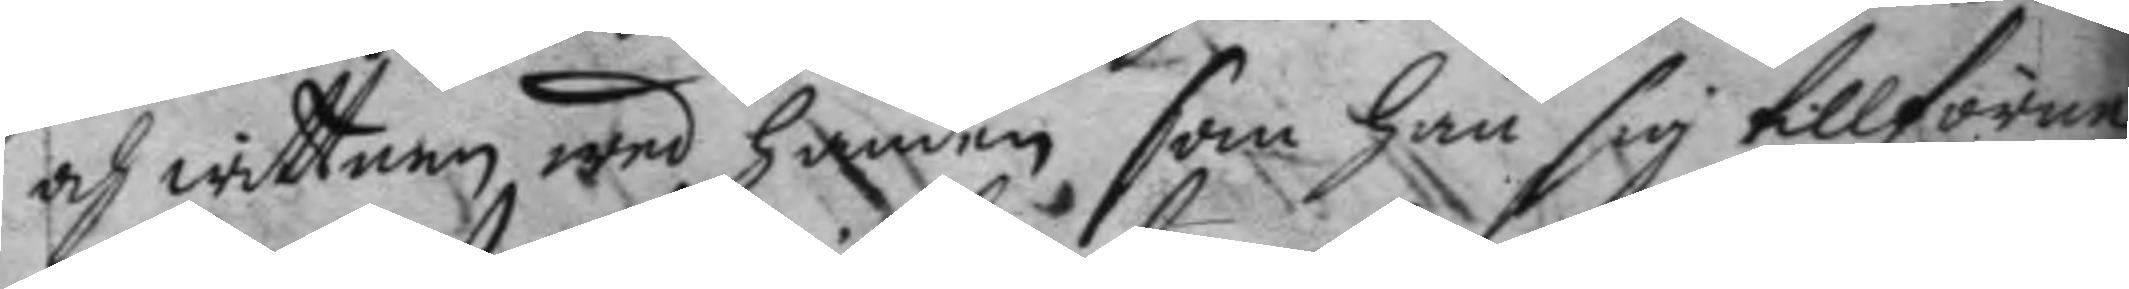och wittnen wed handen som han sig tillförne
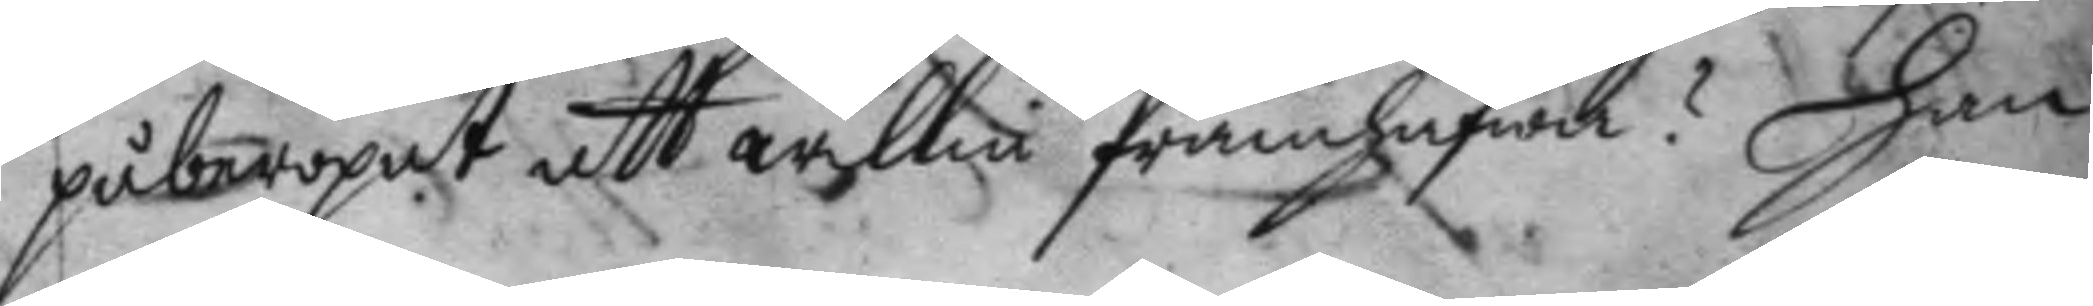påberopat att willia framhafwa? Han
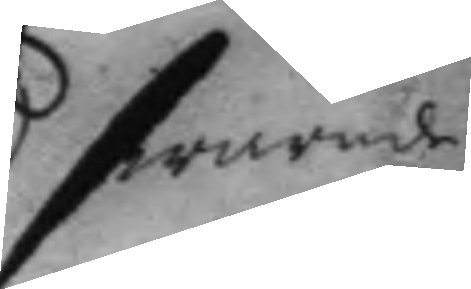swarade
